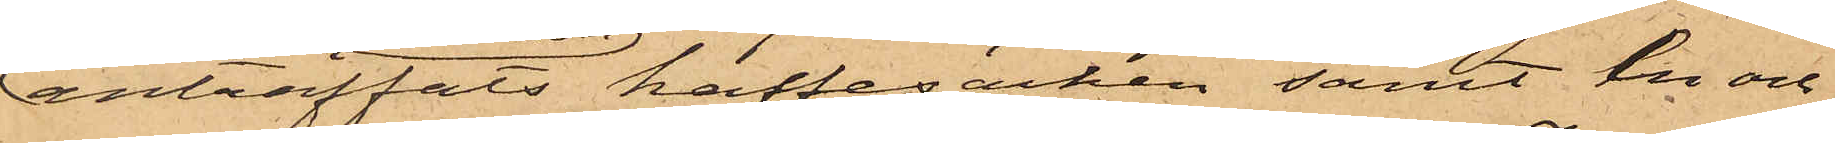anträffats kaffesäcken samt en och
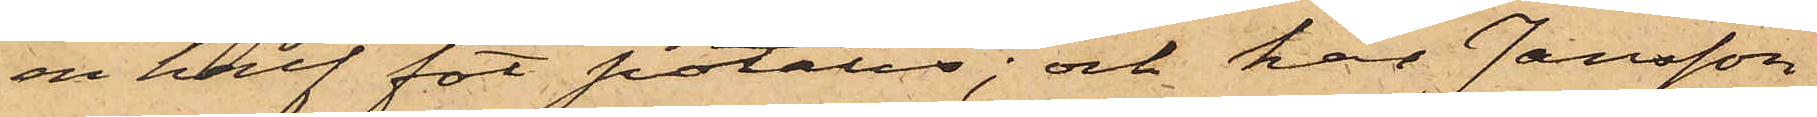en half fot potatis; och har Jansson
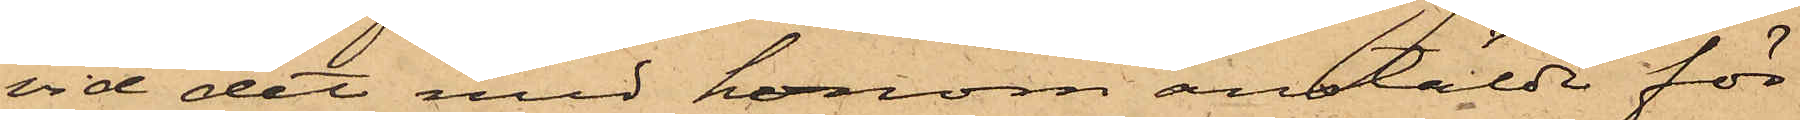vid det med honom anstälde för¬
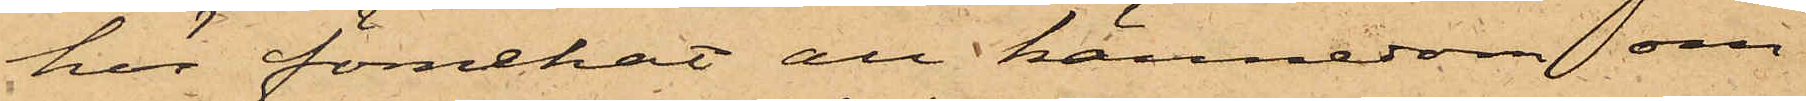hör förnekat all kännedom om
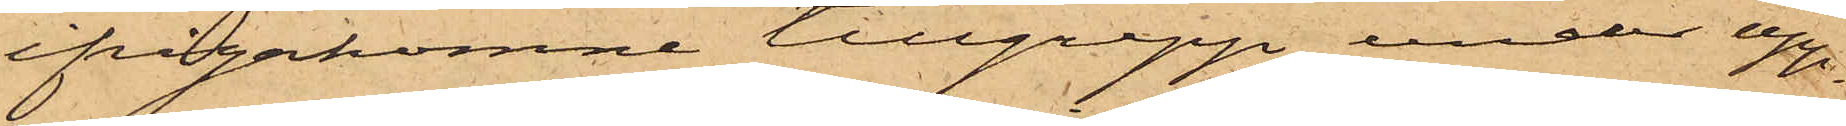ifrågakomne tillgrepp, under upp¬
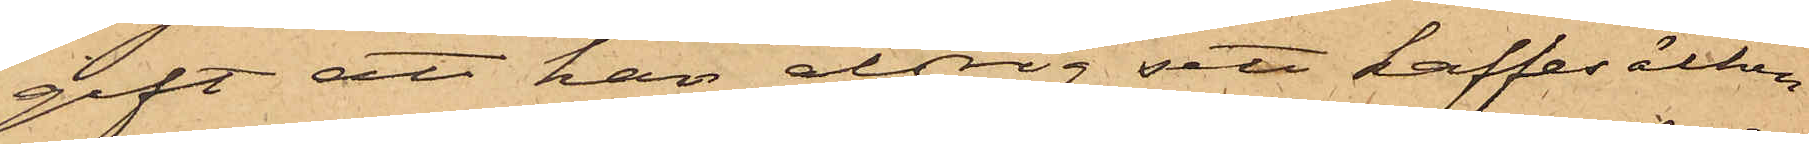gift att han aldrig sett kaffesäcken
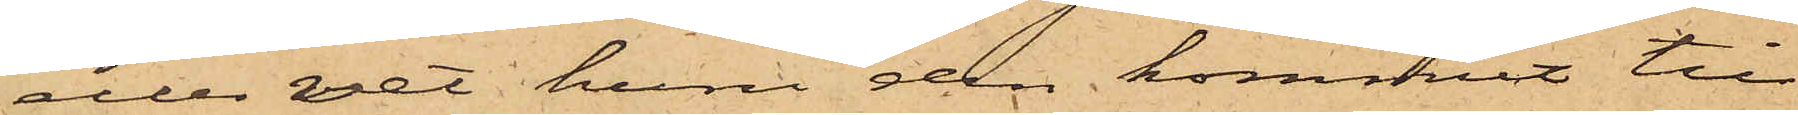eller vet huru den kommit till
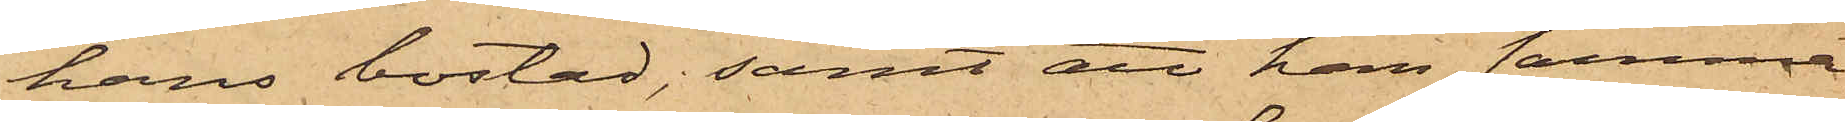hans bostad; samt att han samma
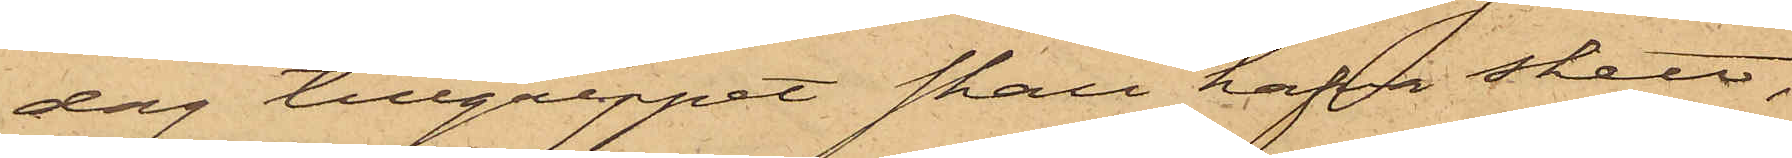dag tillgreppet skall hafva skett,
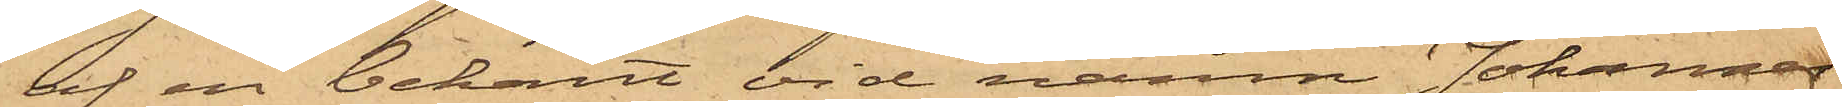af en bekant vid namn Johannes
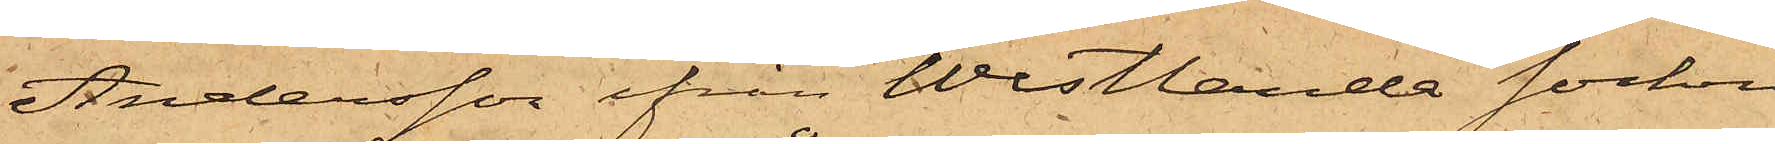Andersson ifrån Westlanda socken
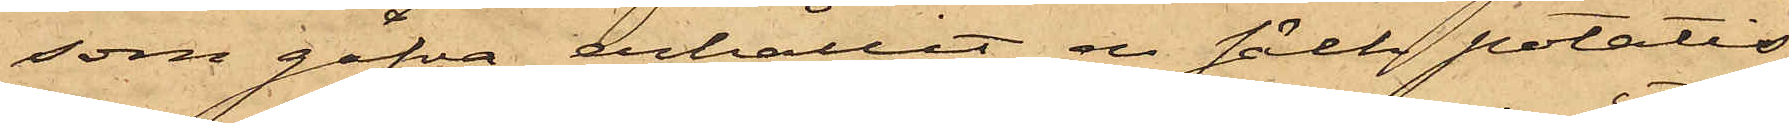som gåfva erhållit en säck potatis,
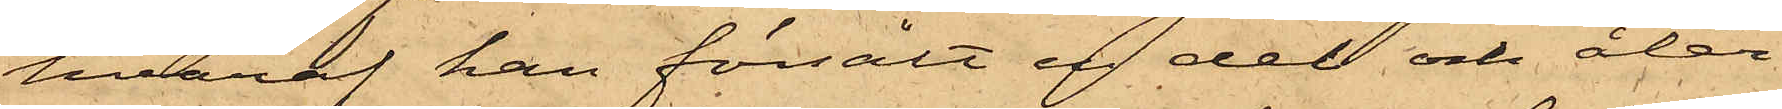hvaraf han försålt en del och åter¬
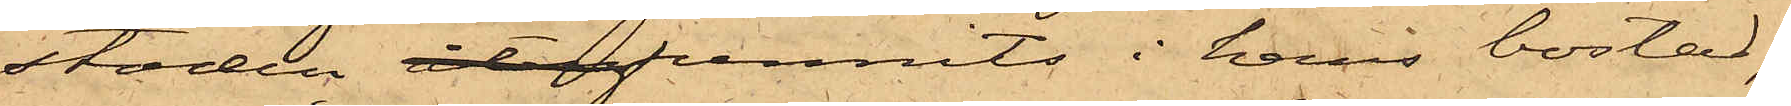stoden återfunnits i hans bostad;
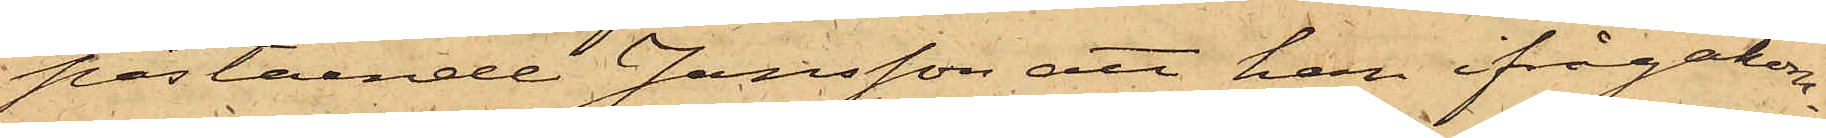påstående Jansson att han ifrågakom¬
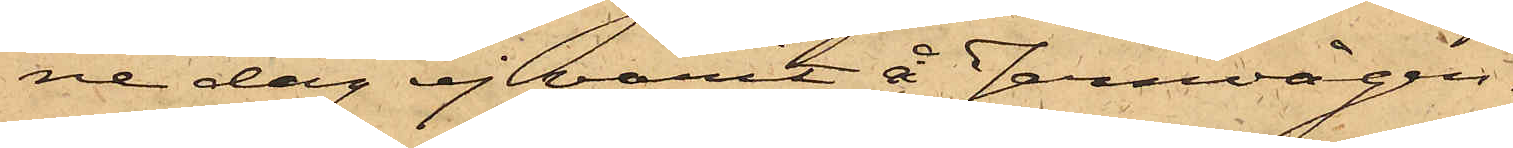ne dag ej varit å Jernvågen,
